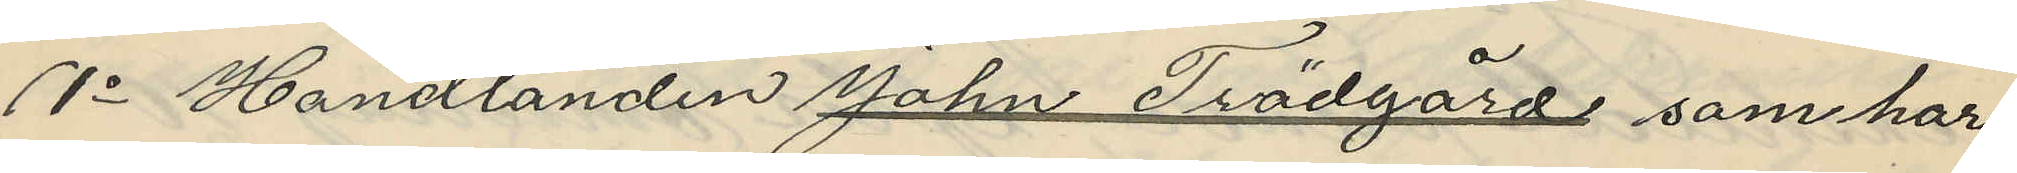1o Handlanden John Trädgård som har
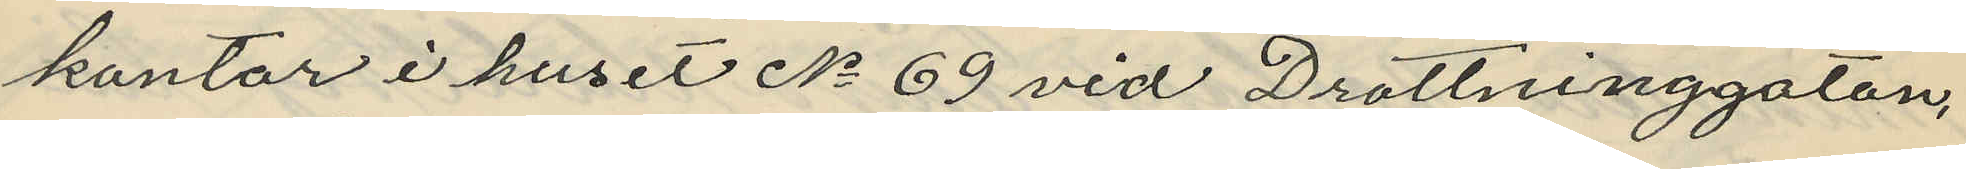kontor i huset No 69 vid Drottninggatan,
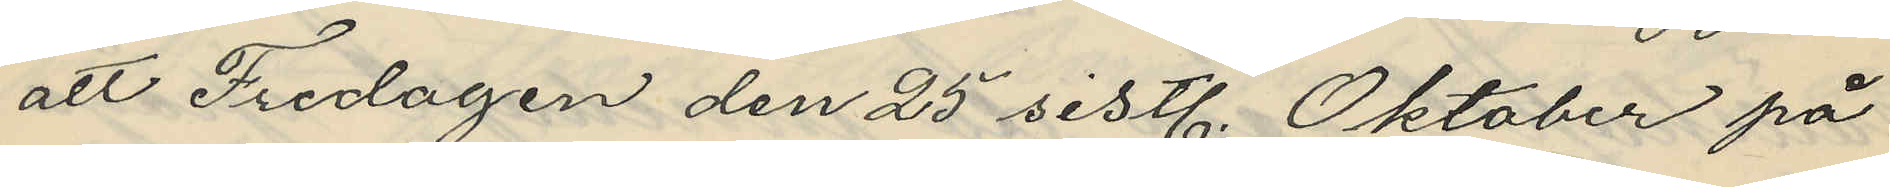att Fredagen den 25 sistl. Oktober på
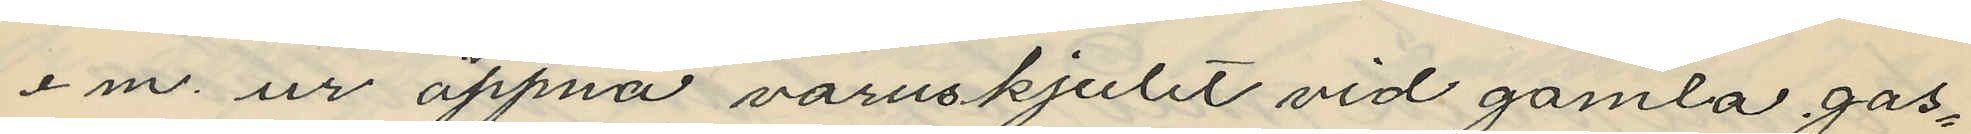e m. ur öppna varuskjulet vid gamla gas¬
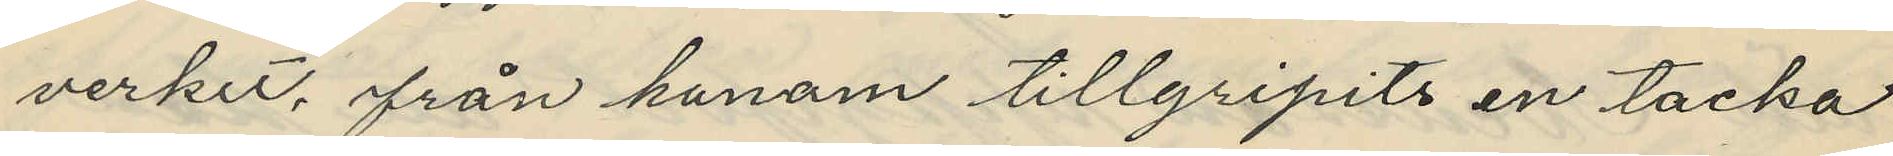verket, från honom tillgripits en tacka
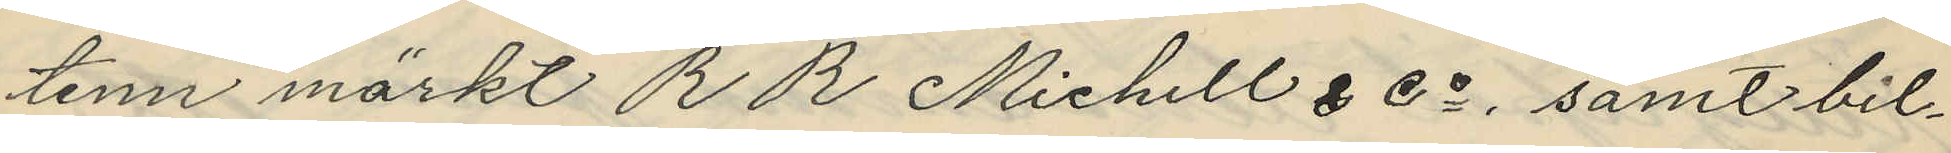tenn märkt R R Michell & Co, samt bil¬
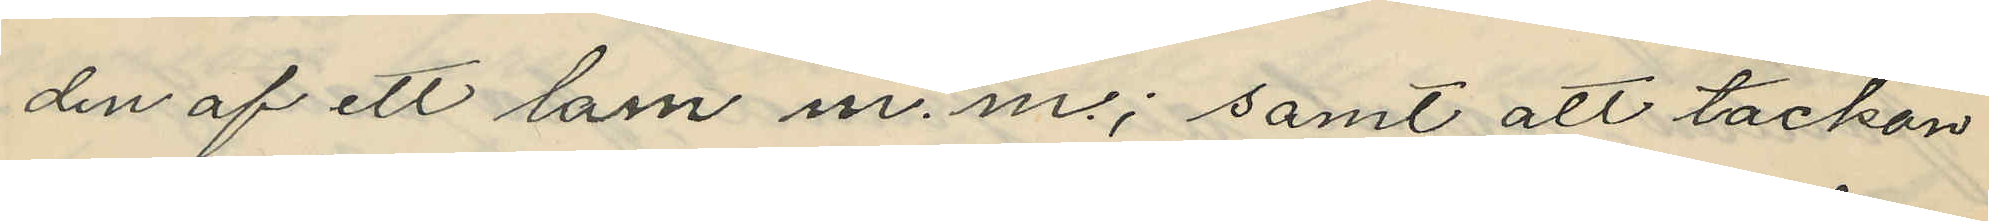den af ett barn m. m.; samt att tackan
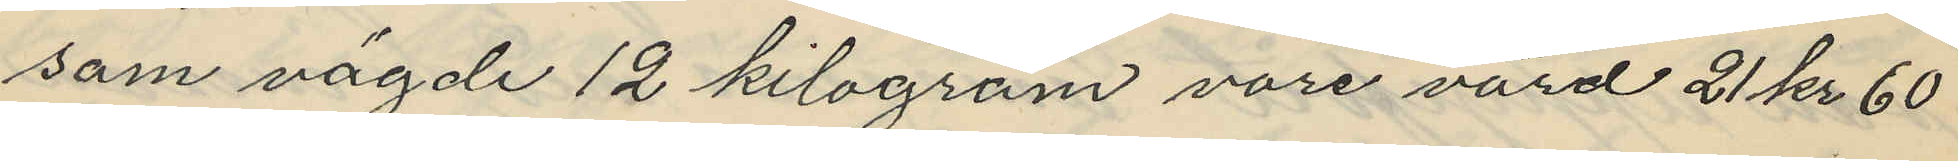som vägde 12 kilogram vore värd 21 kr 60
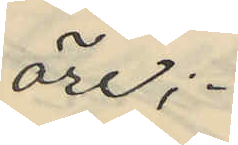öre;
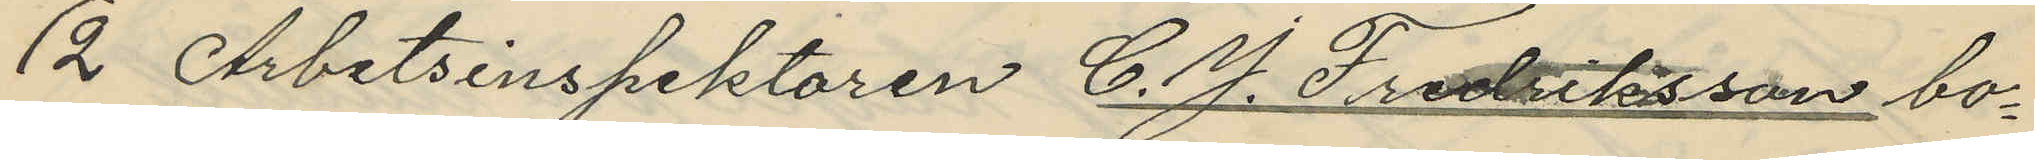2 Arbetsinspektoren C. J. Fredriksson bo¬
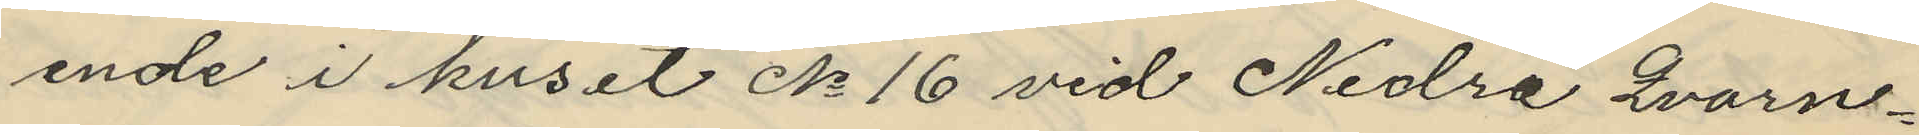ende i huset No 16 vid Nedre Qvarn¬
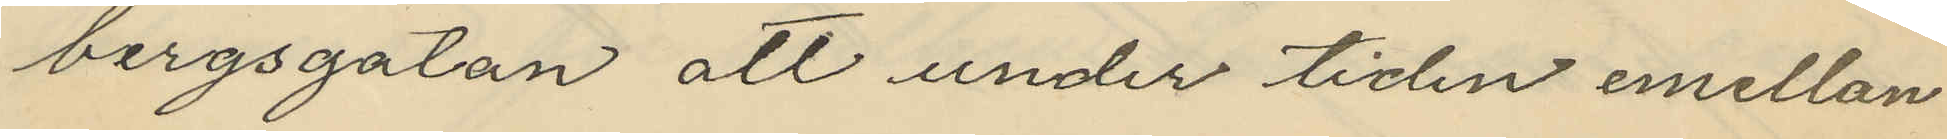bergsgatan att under tiden emellan
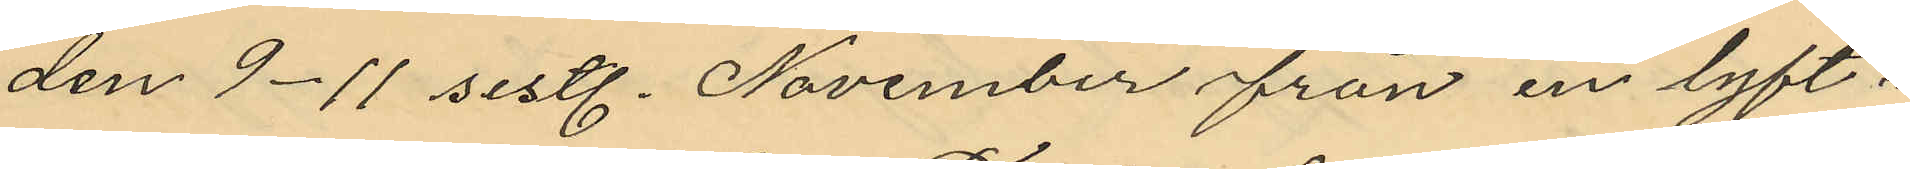den 9-11 sistl. November från en lyft¬
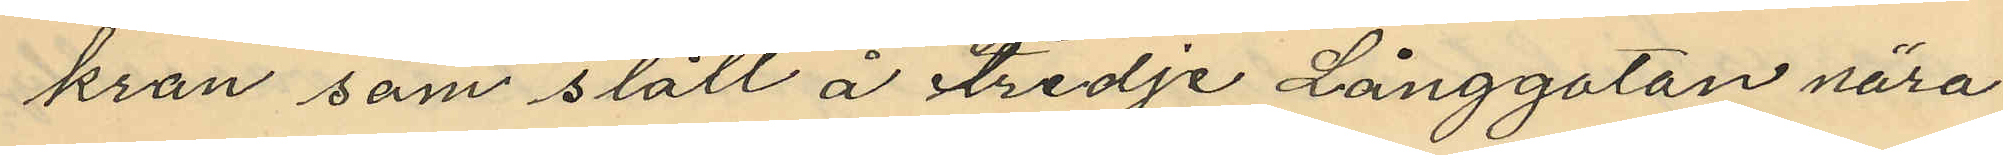kran som stått å Tredje Långgatan nära
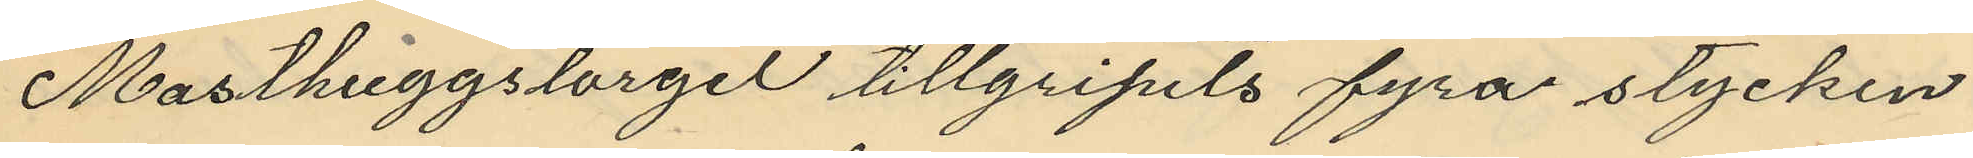Masthuggstorget tillgripits fyra stycken
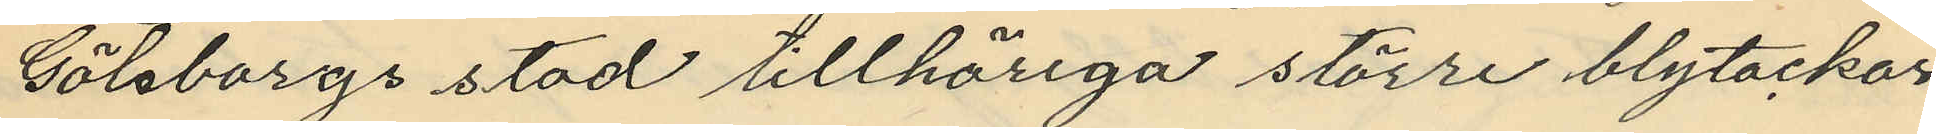Göteborgs stad tillhöriga större blytackor
